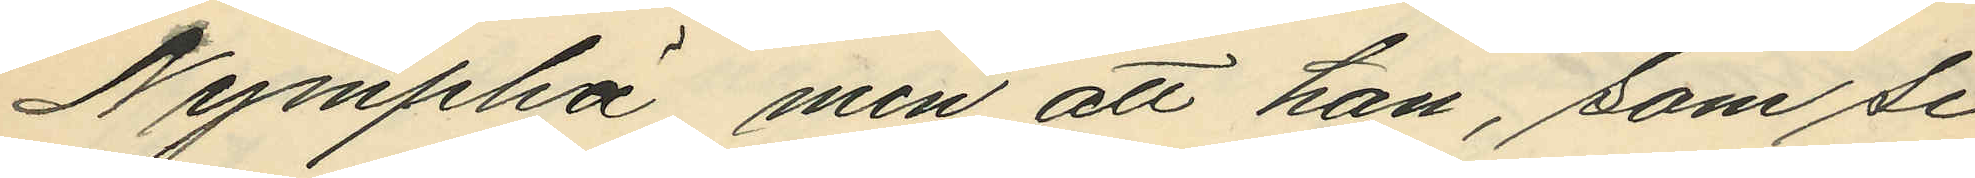Nympha", men att han, som se¬
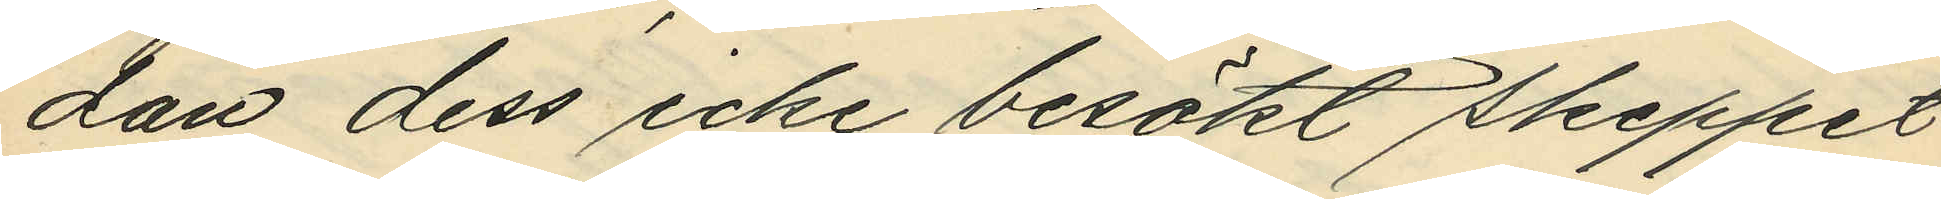dan dess icke besökt skeppet
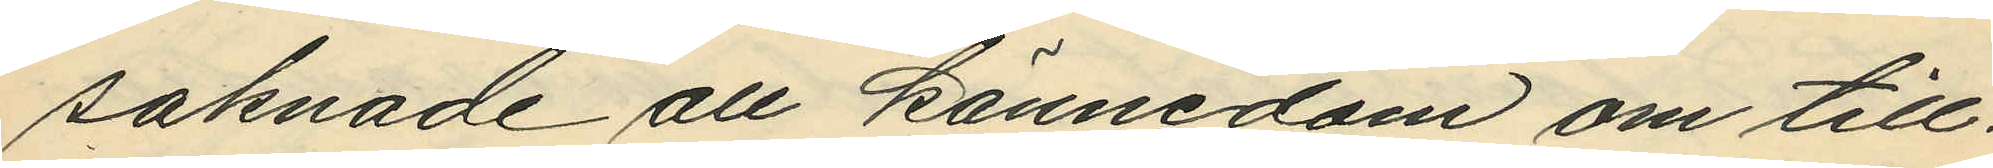saknade all kännedom om till¬
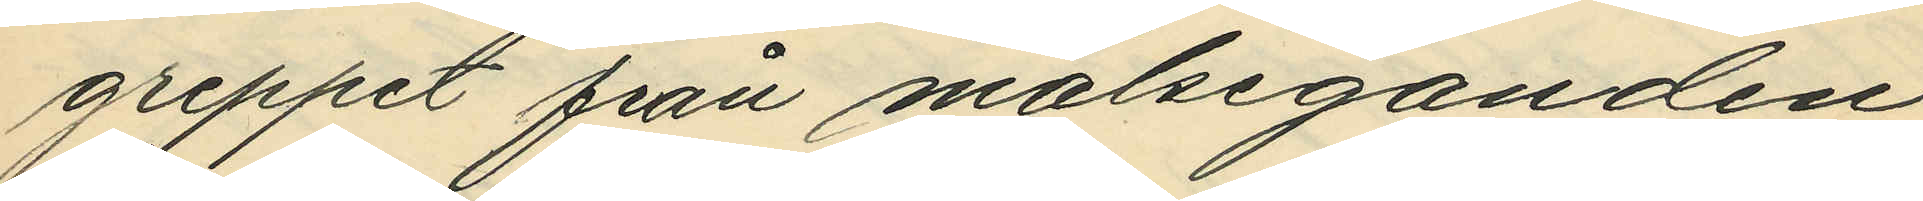greppet från målseganden
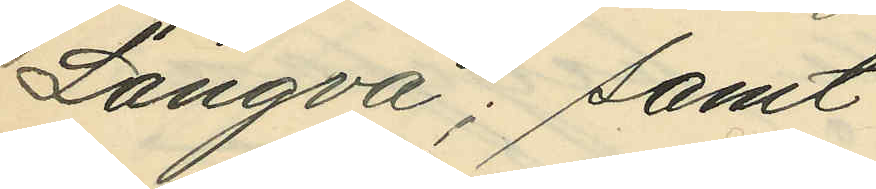Langva; samt
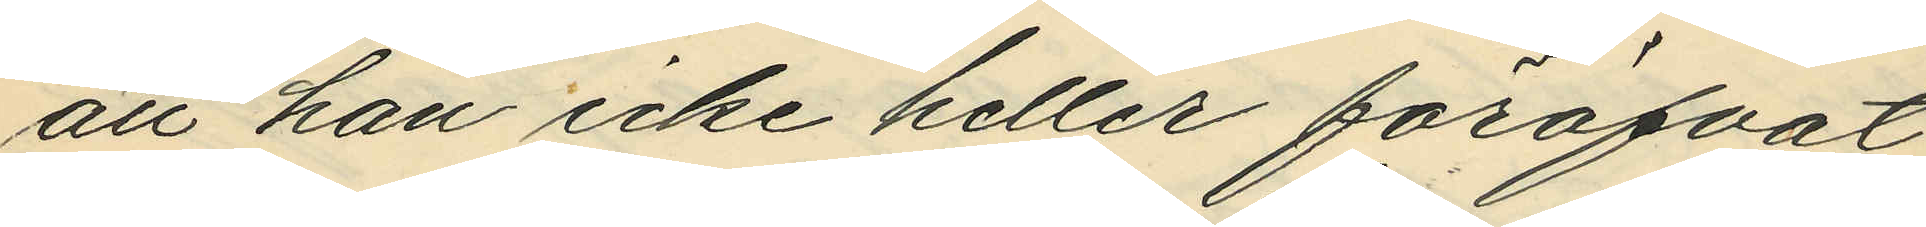att han icke heller föröfvat
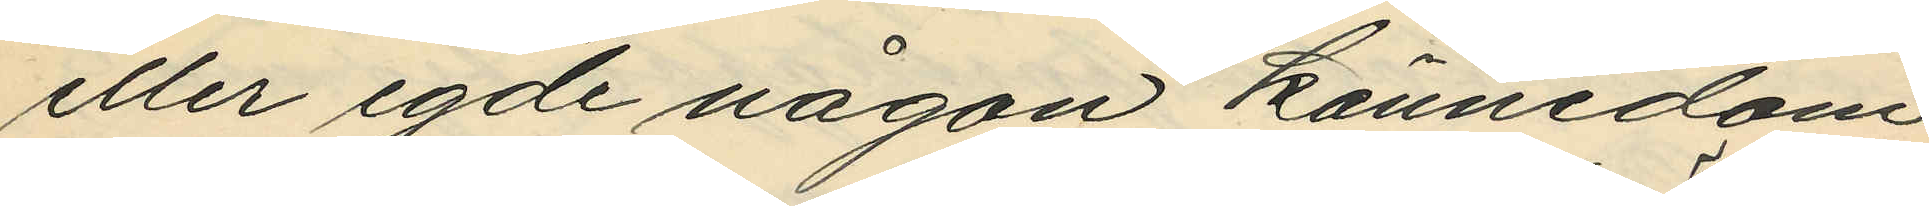eller egde någon kännedom
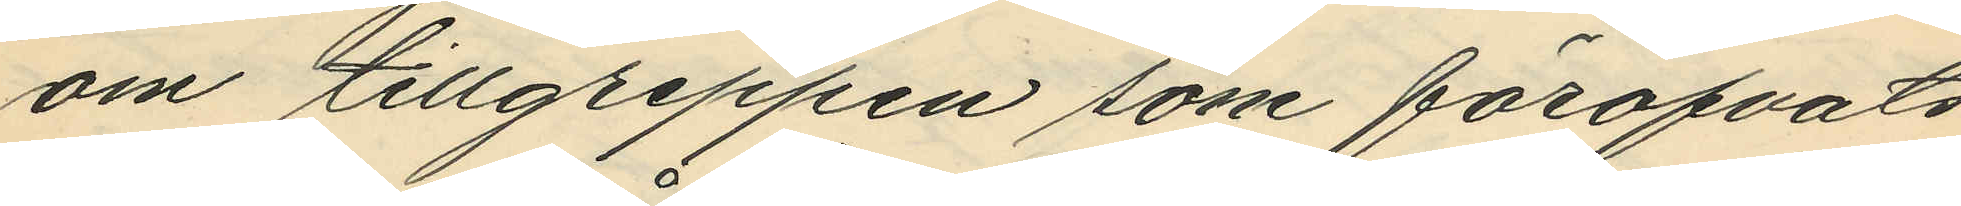om tillgreppen som föröfvats
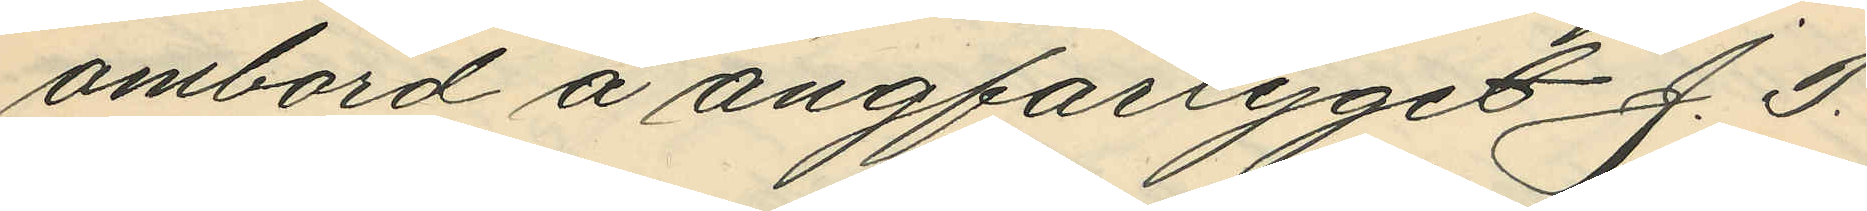ombord å ångfartyget J. P.
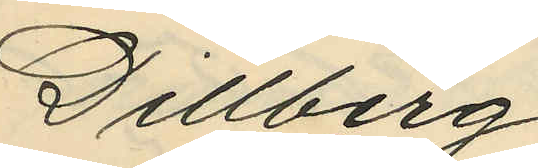Dillberg.
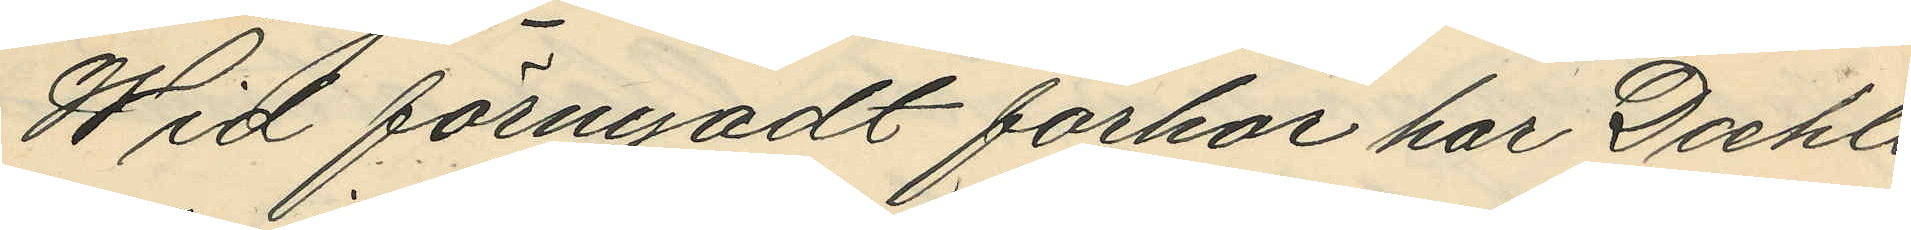Wid förnyadt förhör har Daehli
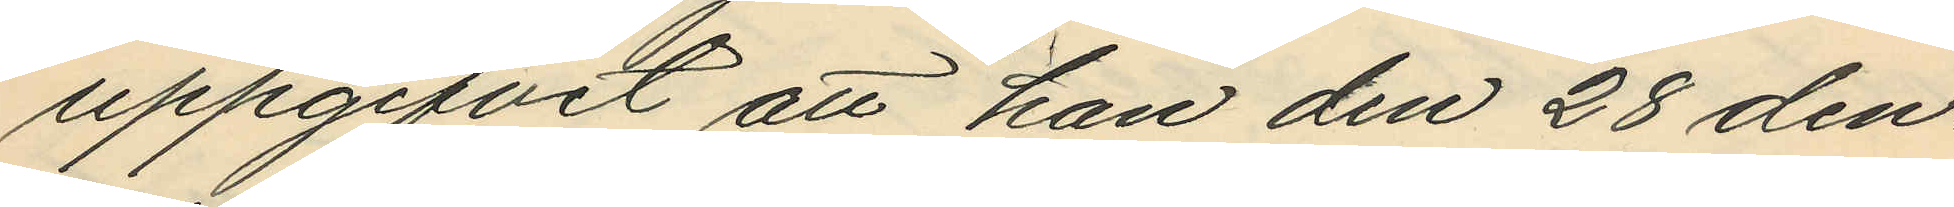uppgifvit att han den 28 den¬
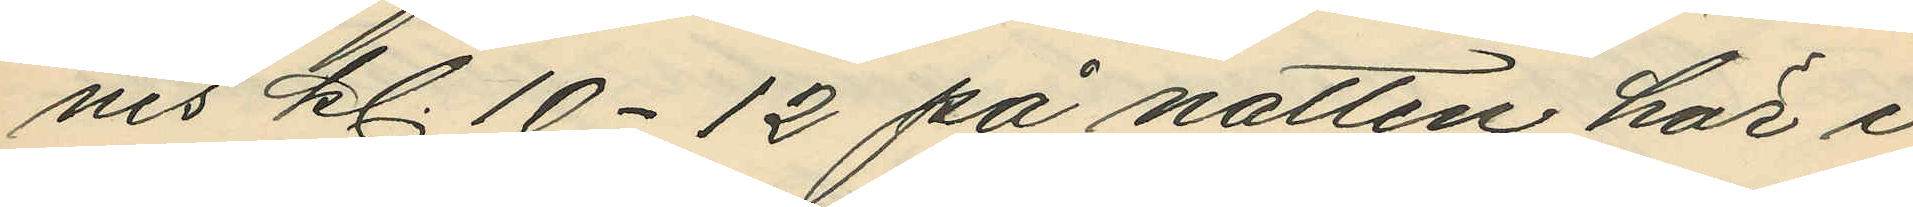nes kl. 10-12 på natten här i
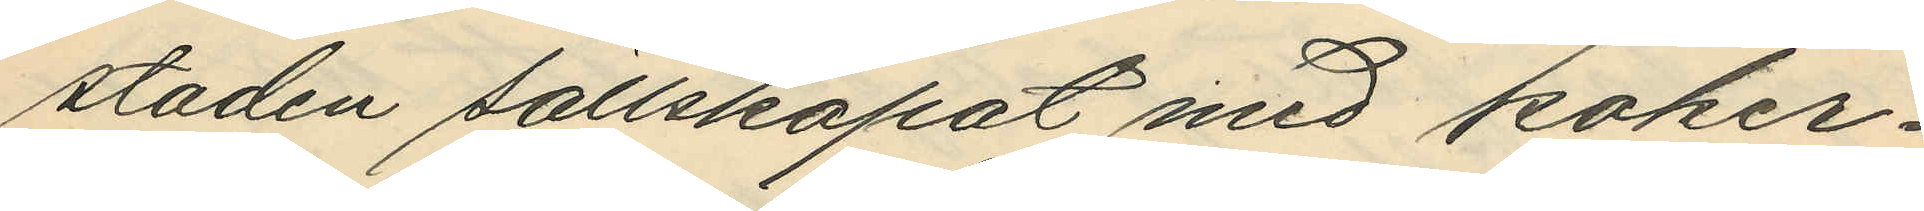staden sällskapat med koker¬
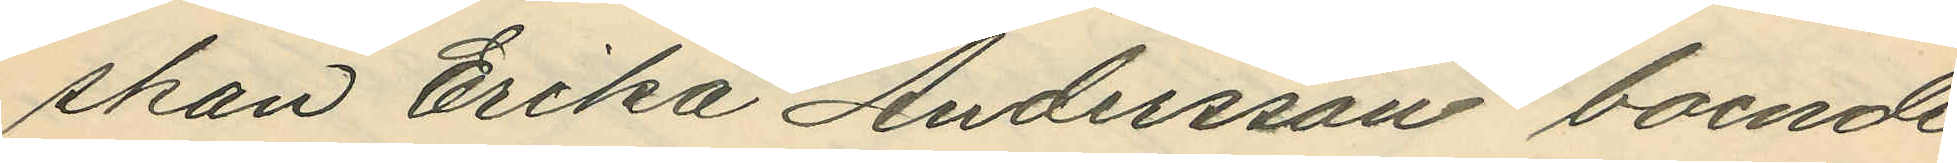skan Erika Andersson boende
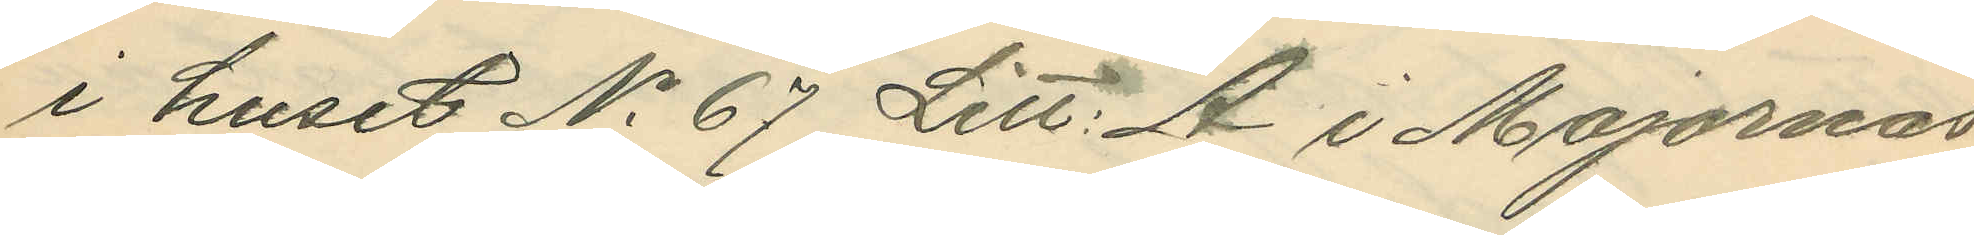i huset No 67 Litt: A i Majornas
